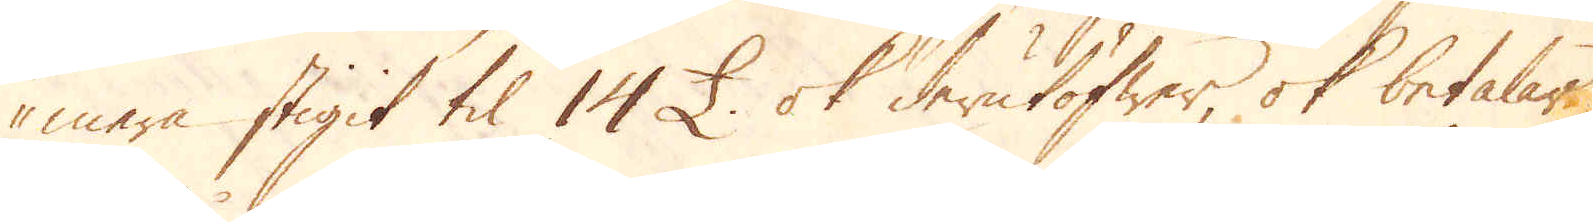mera stigit til 14 £ ok derutöfwer, ok betalar
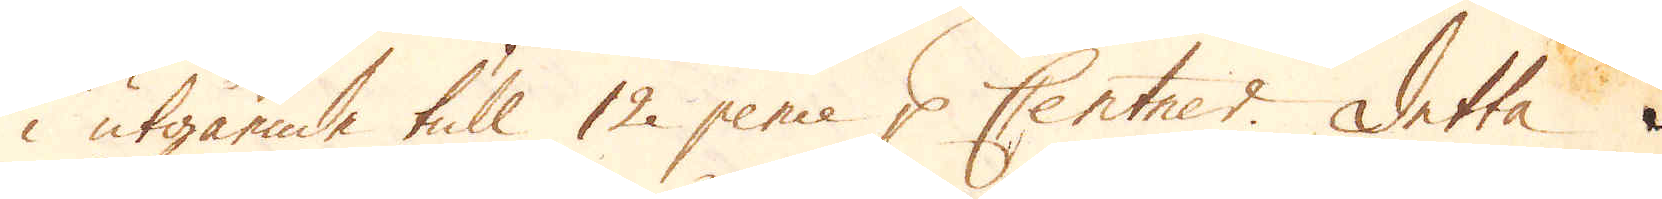i utgående tull 12 pence p Centner. Detta
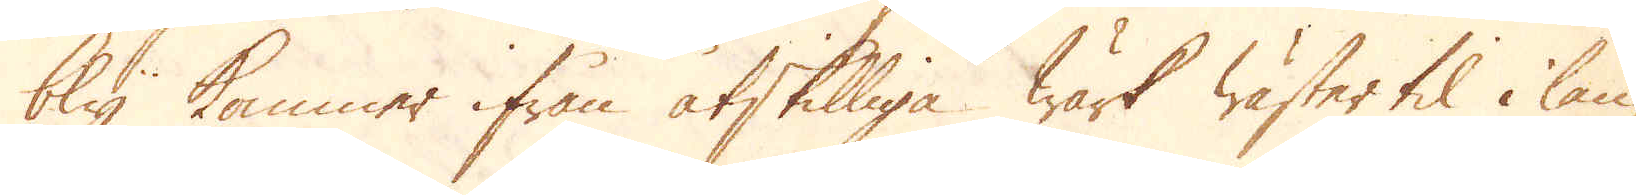bly kommer ifrån åtskilliga wärk wäster til i lan-
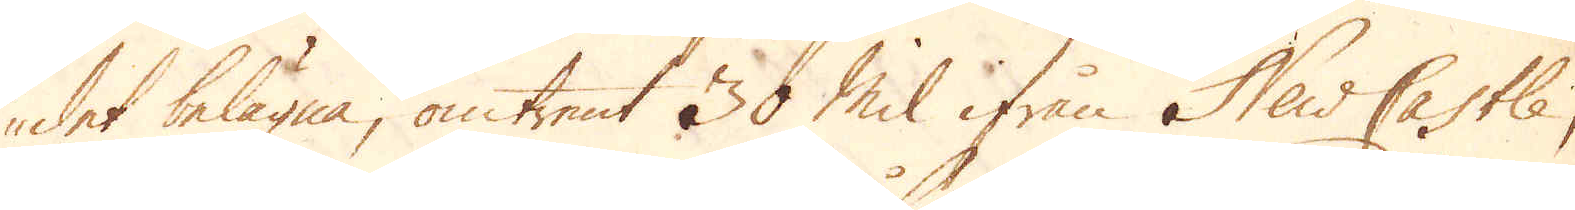det belägna, omtrent 30 mil ifrån NewCastle,
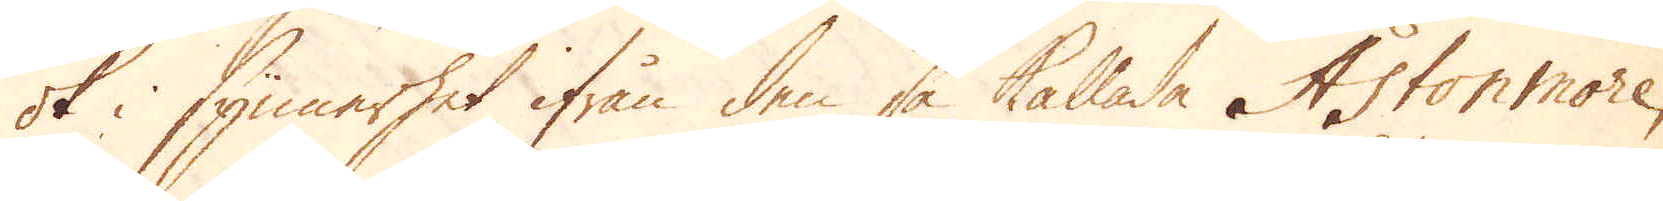ok i synnerhet ifrån den så kallade Aston more,
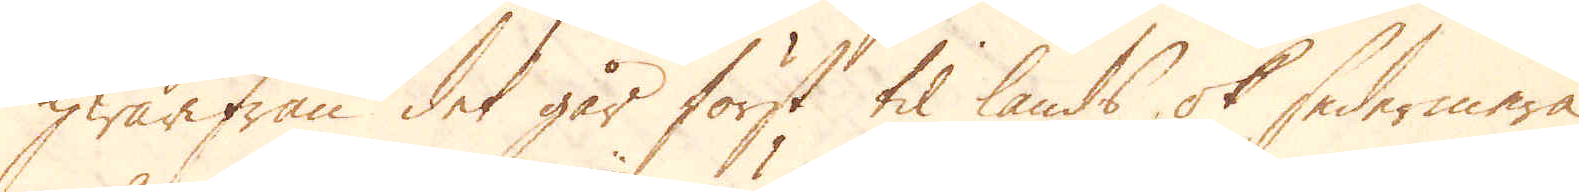hwarifrån det går först til lands ok sedermera
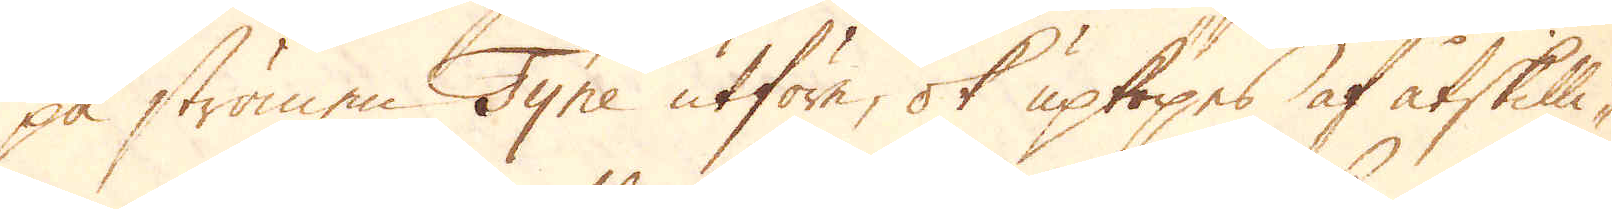på strömen Tyne utföre, ok upköpes af åtskilli-
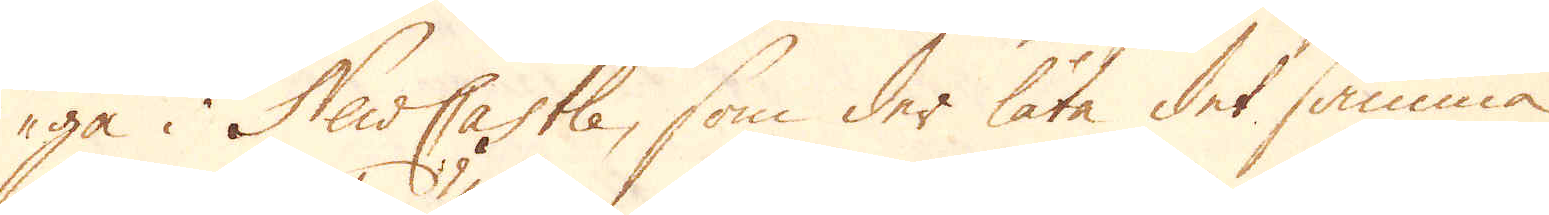ge i NewCastle, som der låta det samma
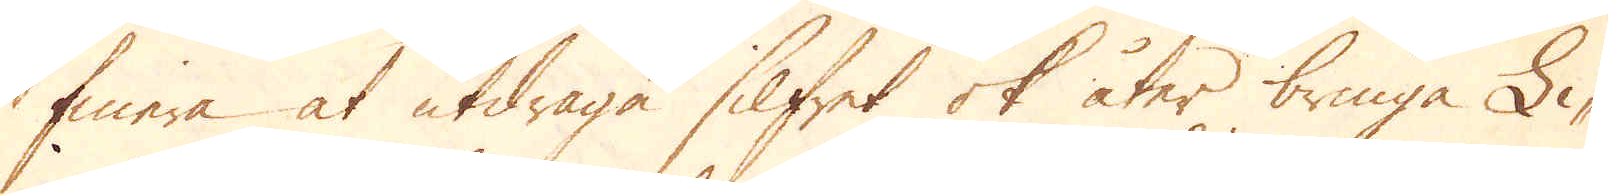finera at utdraga silfret ok åter bringa Li-
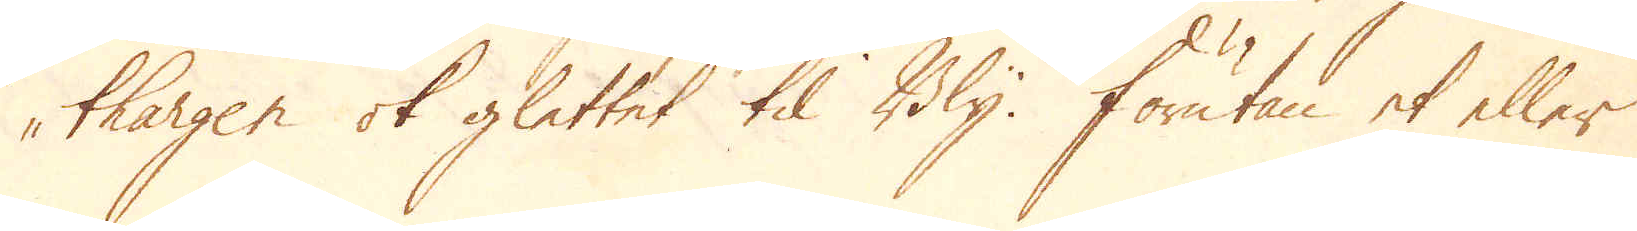thargen ok glettet til Bly. Förutan et eller
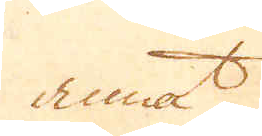annat
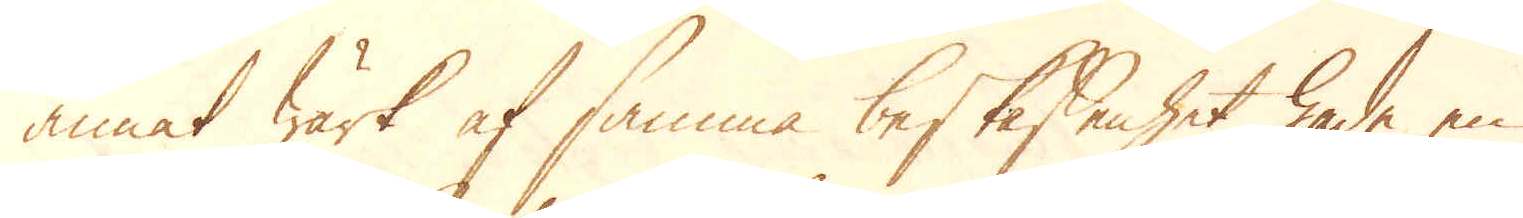annat wärk af samma beskaffenhet hade en
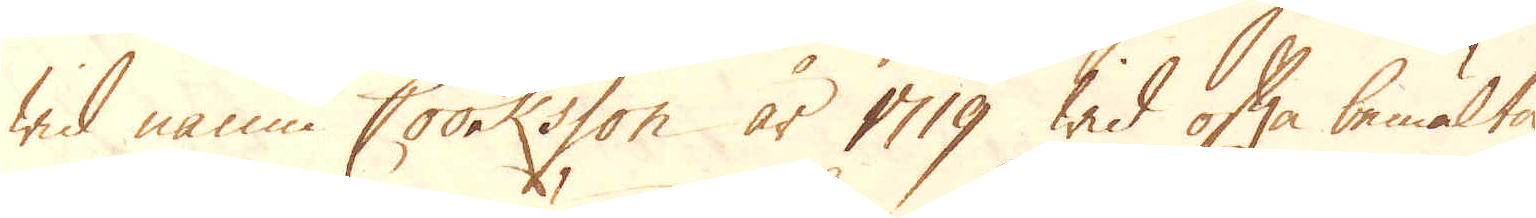wid namn Cooksson år 1719 wid ofta bemälte
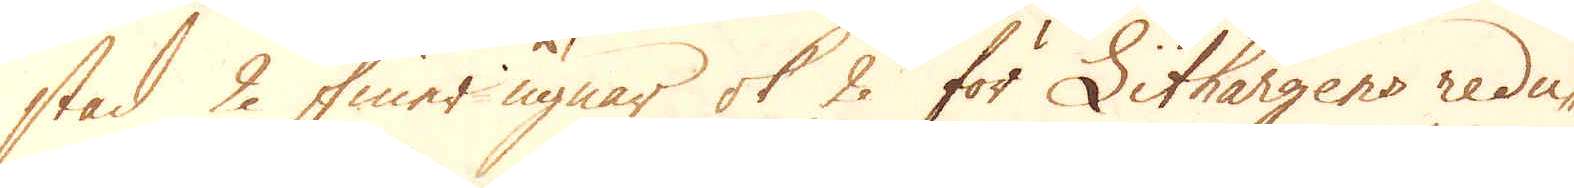stad 2 finer ugnar ok 2 för Lithargens redu-
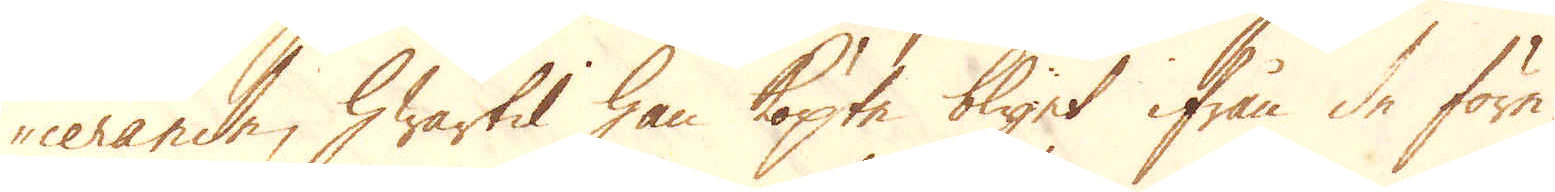cerande, hwartil han köpte blyet ifrån de före-
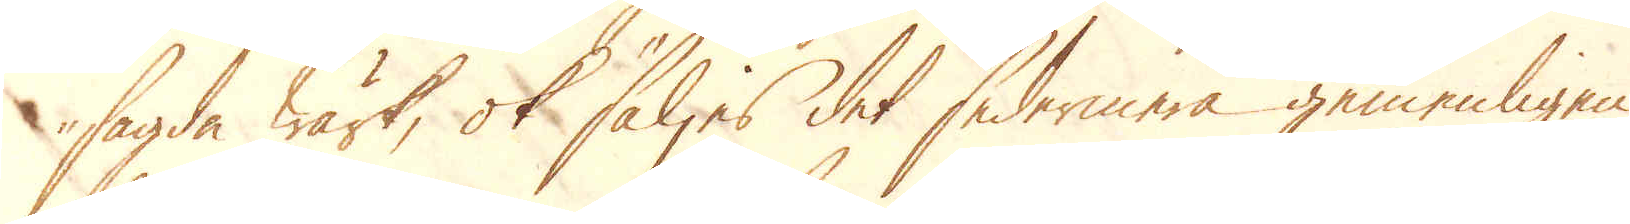sagde wärk, ok säljes det sedermera gemenligen
